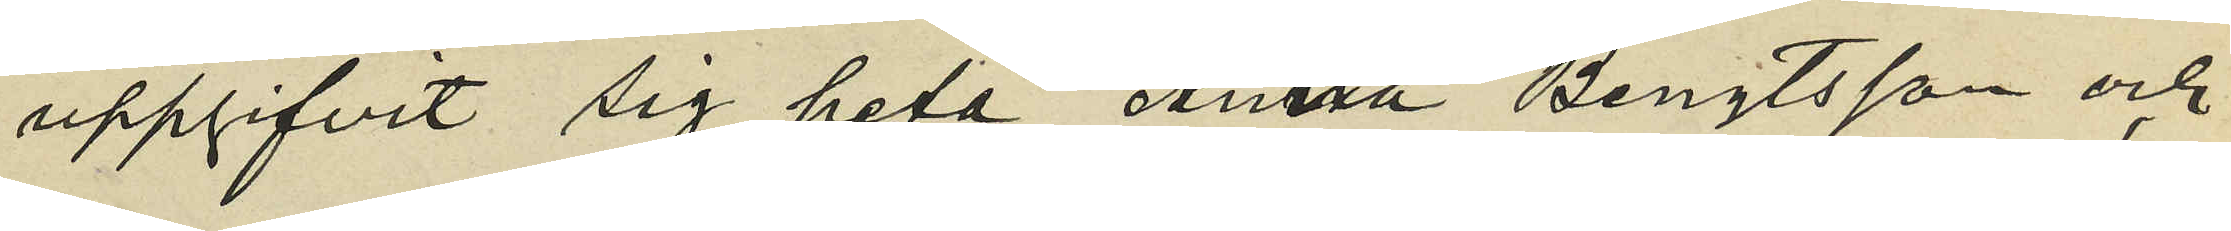uppgifvit sig heta Anna Bengtsson och
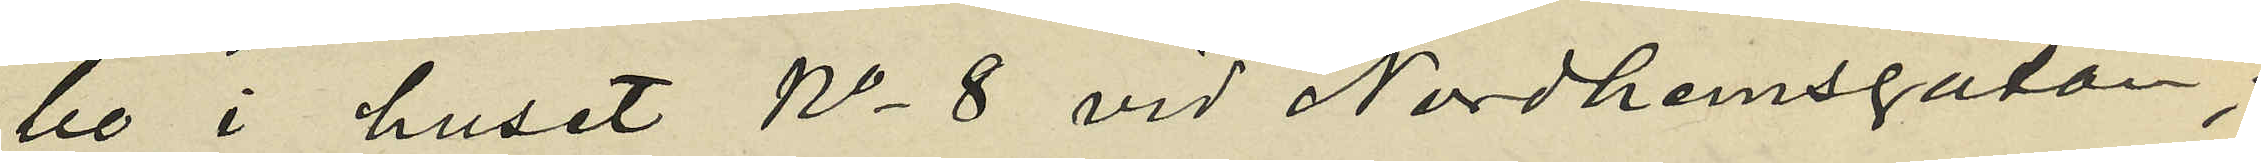bo i huset No 8 vid Nordhemsgatan;
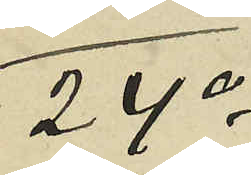24o
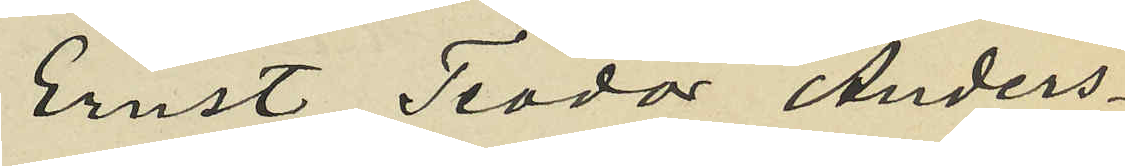Ernst Teodor Anders¬
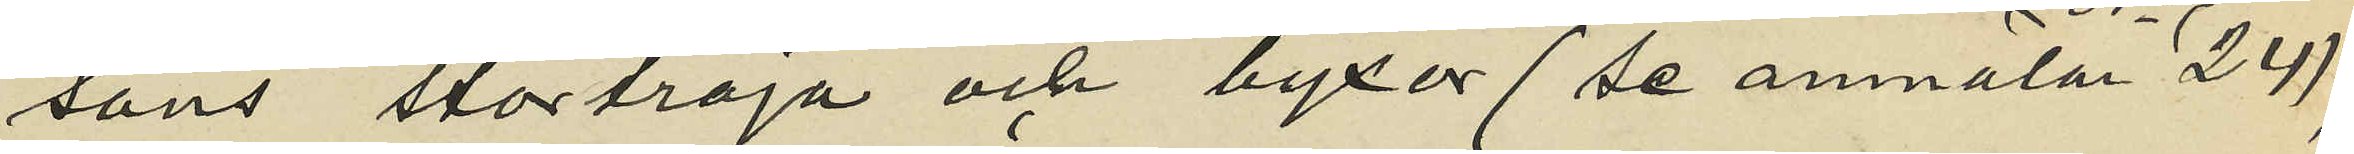sons stortröja och byxor (se anmälan No 24),
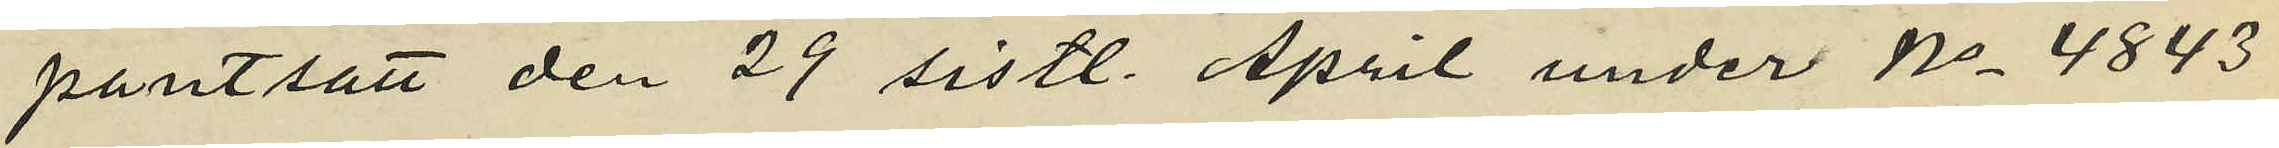pantsatt den 29 sistl. April under No 4843
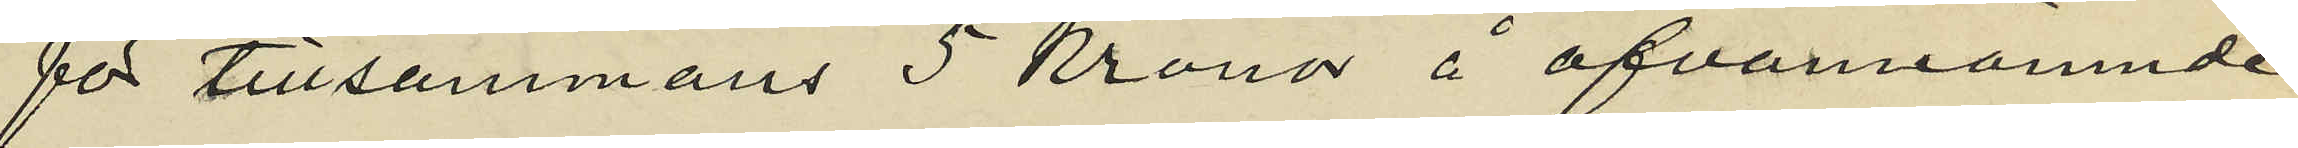för tillsammans 5 Kronor å ofvannämnde
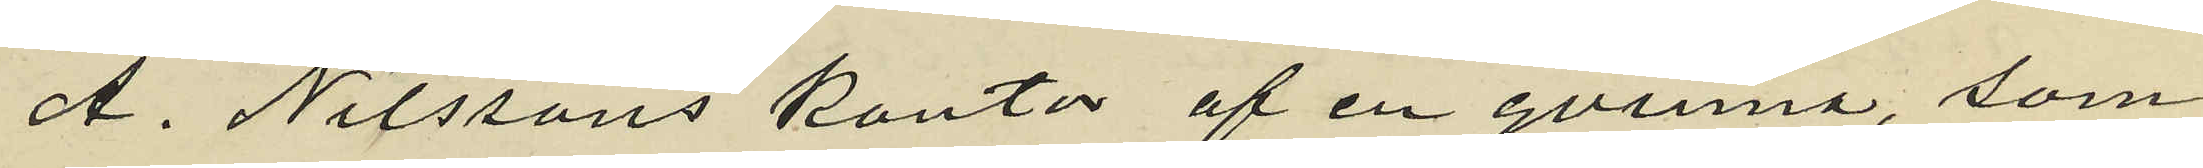A. Nilssons kontor af en qvinna, som
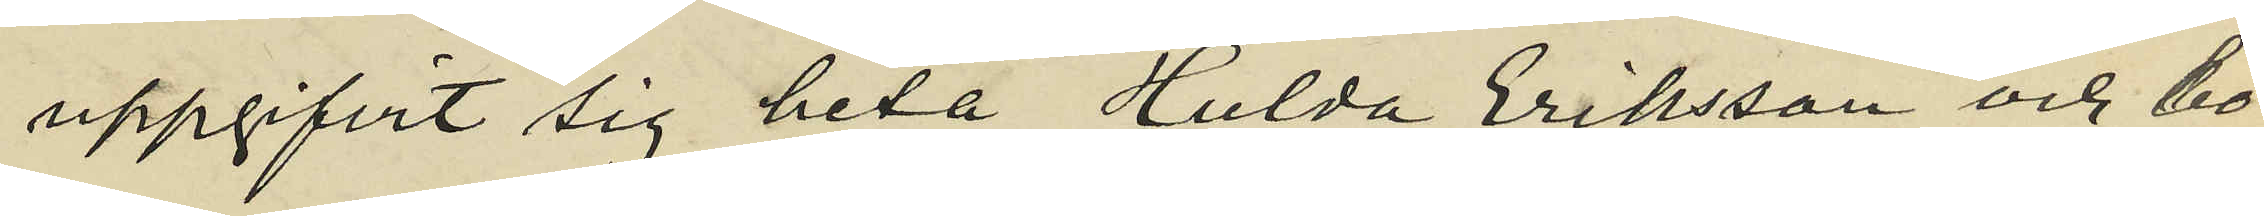uppgifvit sig heta Hulda Eriksson och bo
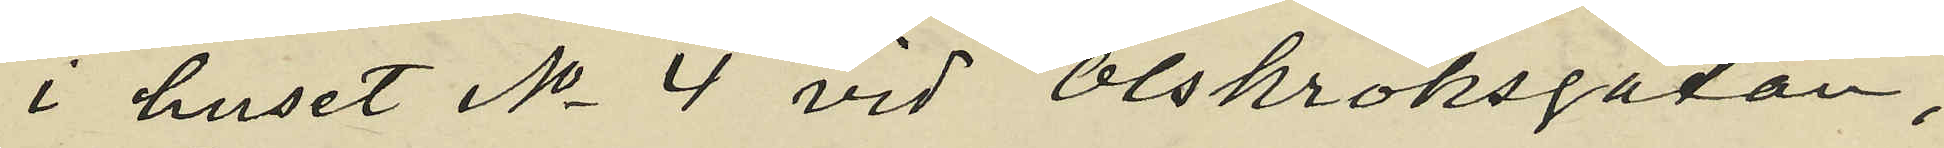i huset No 4 vid Olskroksgatan,
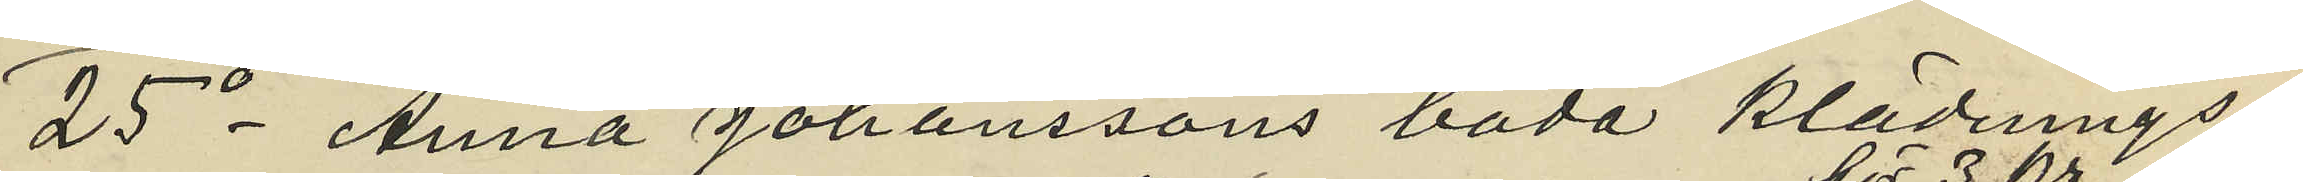25o Anna Johanssons båda klädnings¬
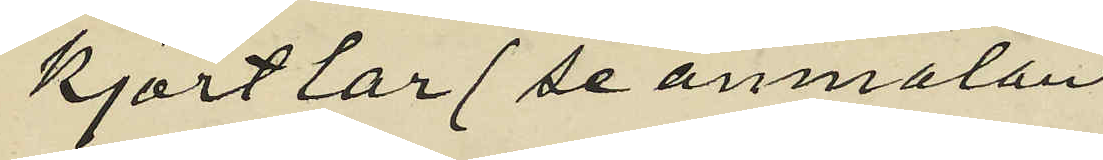kjortlar (se anmälan
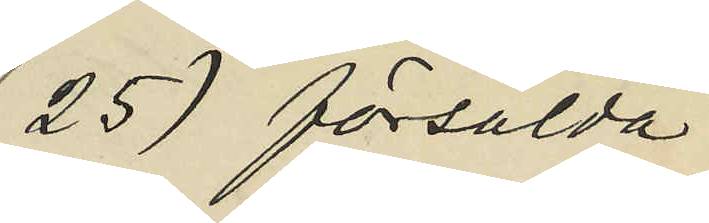25) försålda
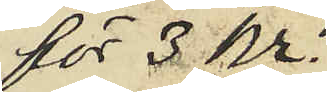för 3 Kr.
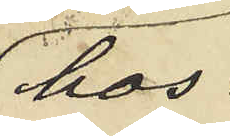hos
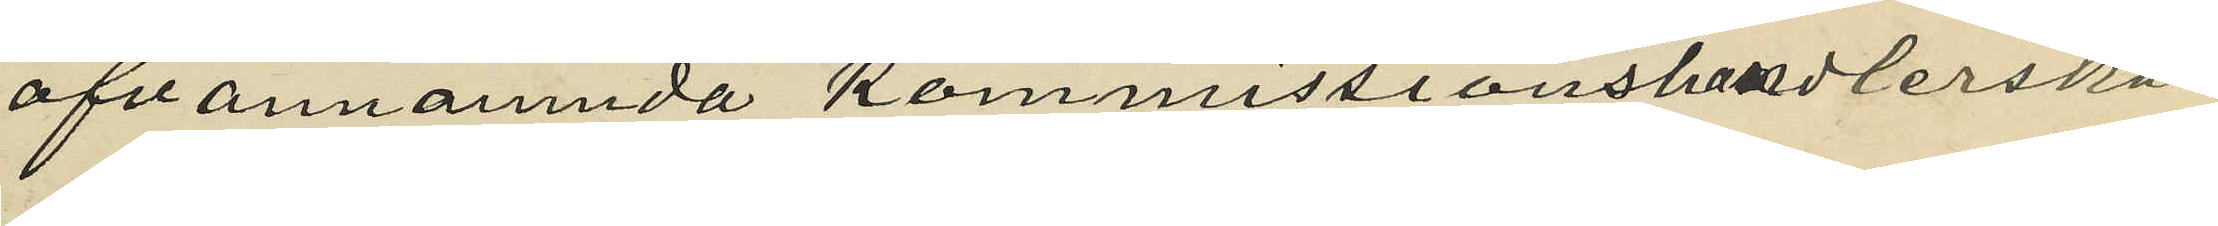ofvannämnda Kommissionshandlerskan
